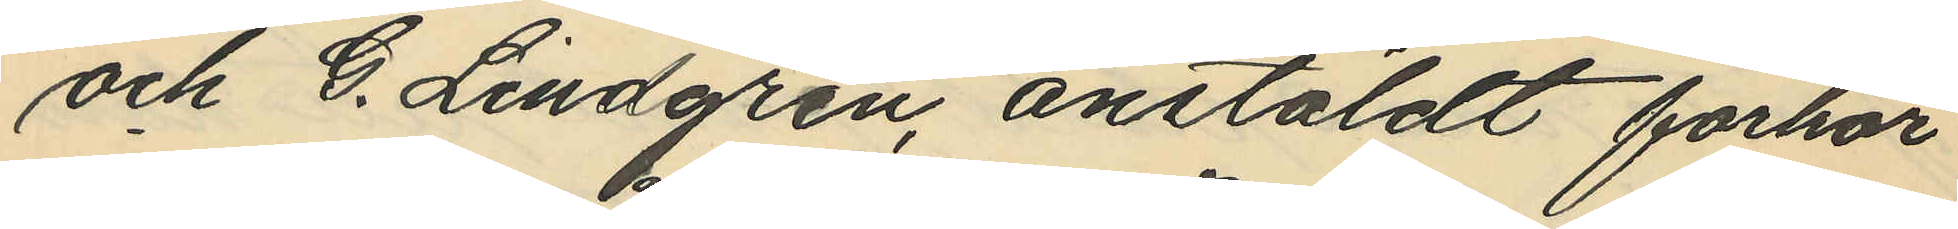och G. Lindgren, anstäldt förhör
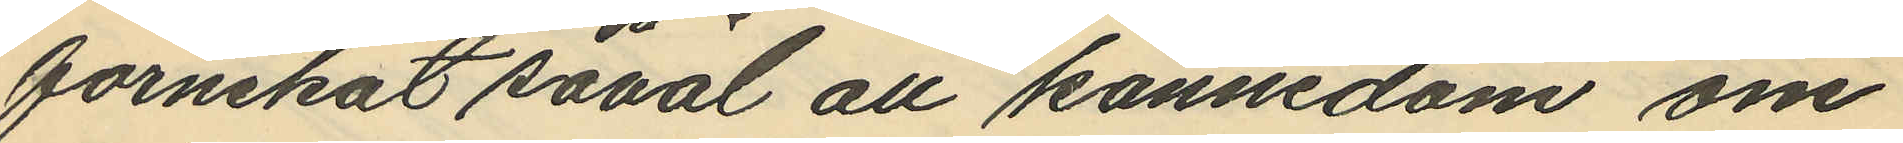förnekat såväl all kännedom om
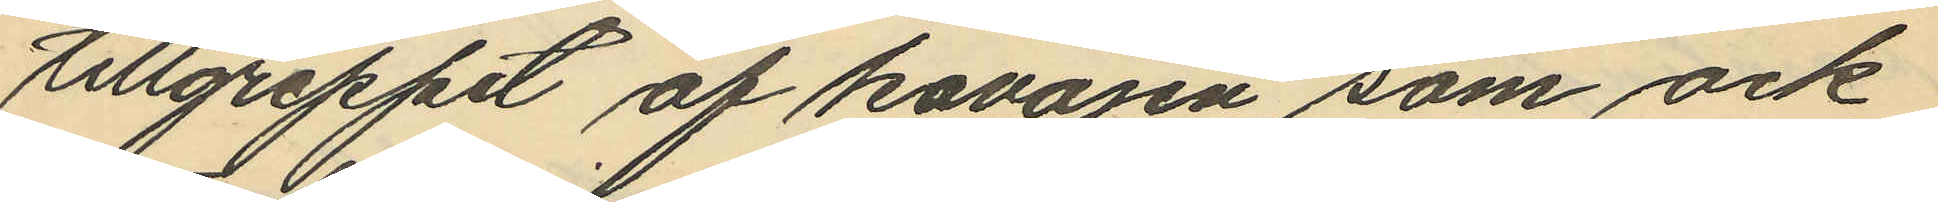tillgreppet af kavajen som ock
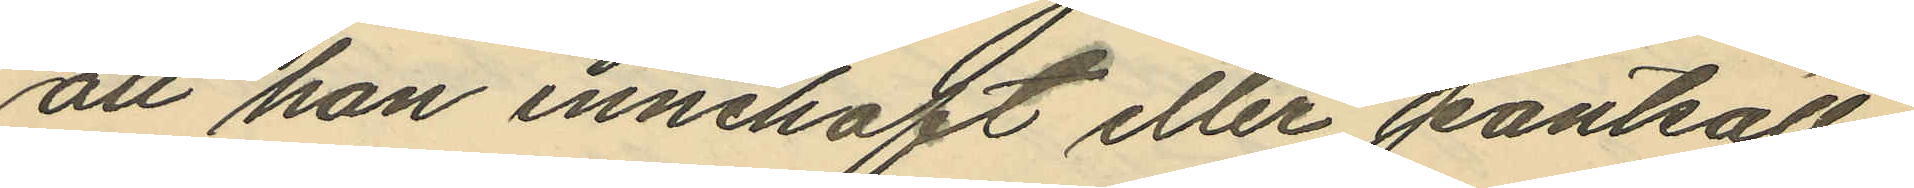att han innehaft eller pantsatt
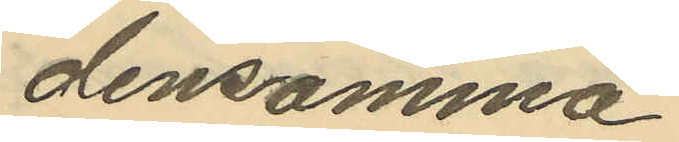densamma.
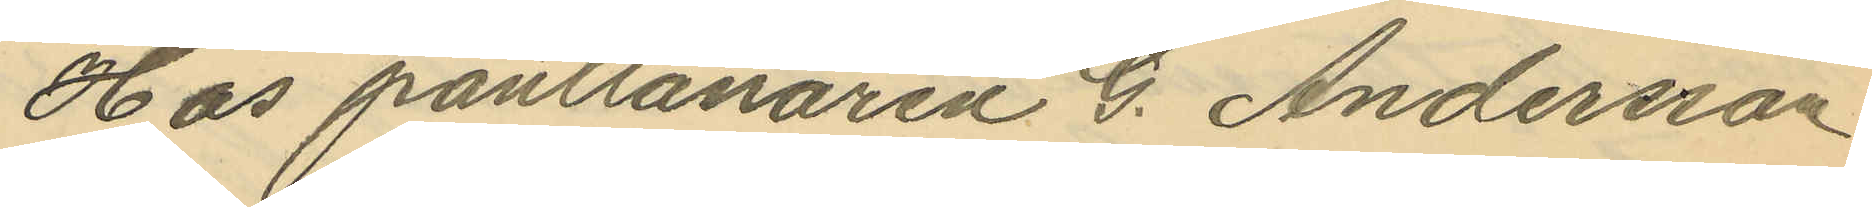Hos pantlånaren G. Andersson
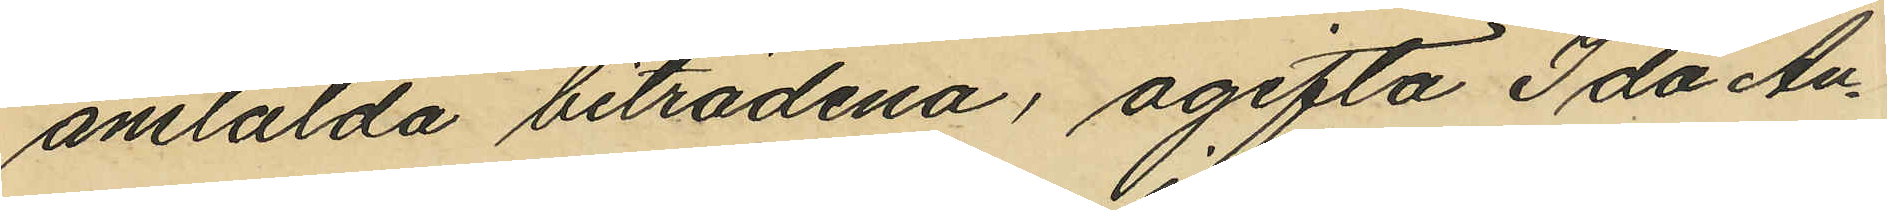anstälda biträdena, ogifta Ida An¬
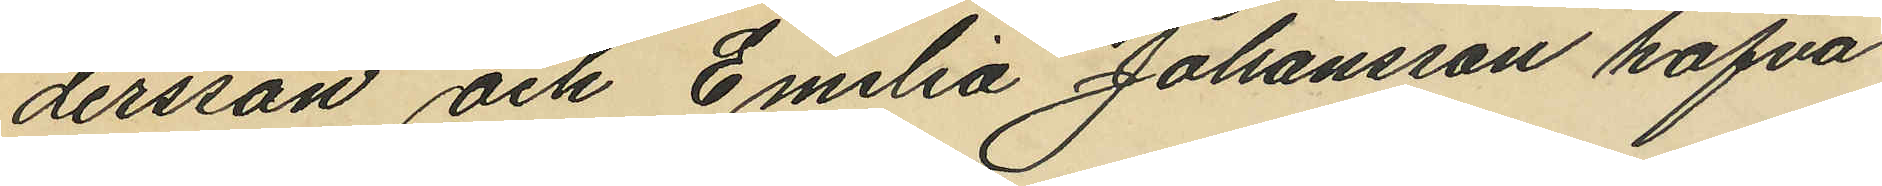dersson och Emilia Johansson hafva
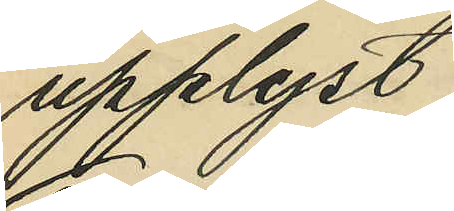upplyst:
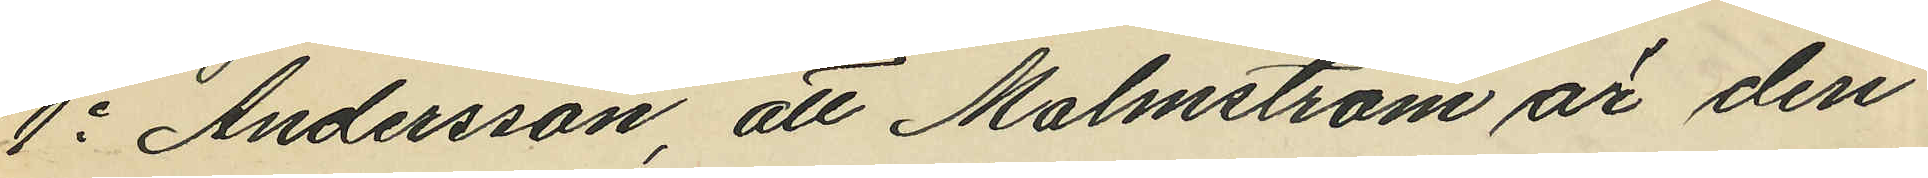1o Andersson, att Malmström är den
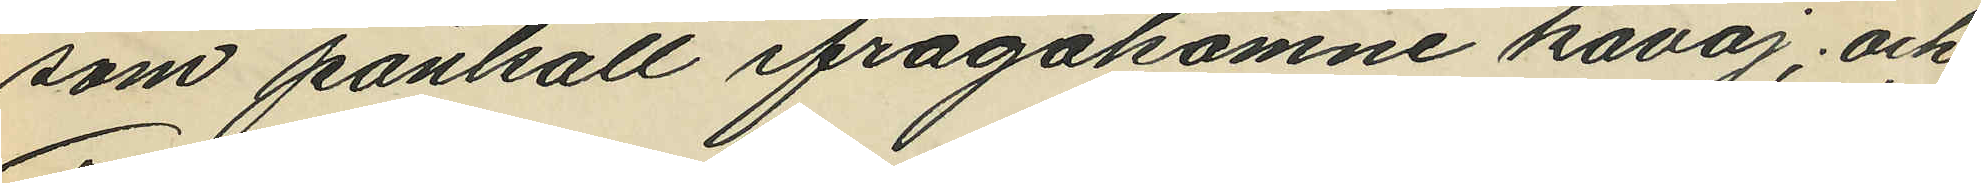som pantsatt ifrågakomne kavaj; och
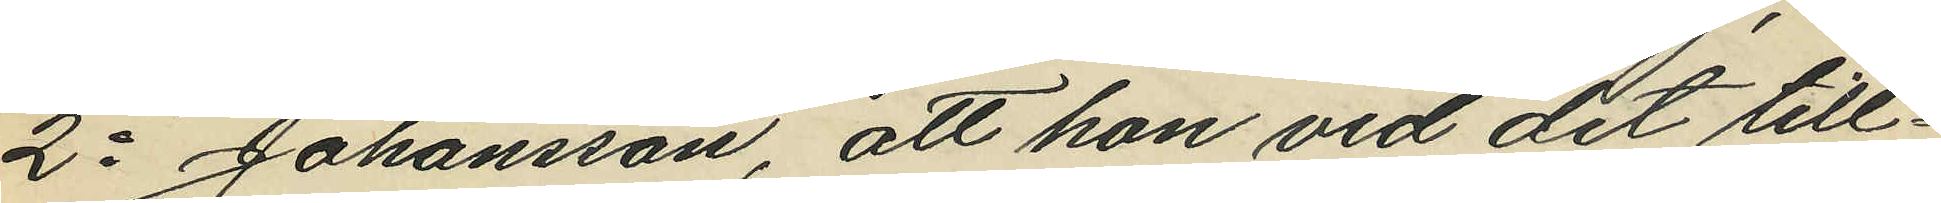2o Johansson att hon vid det till¬
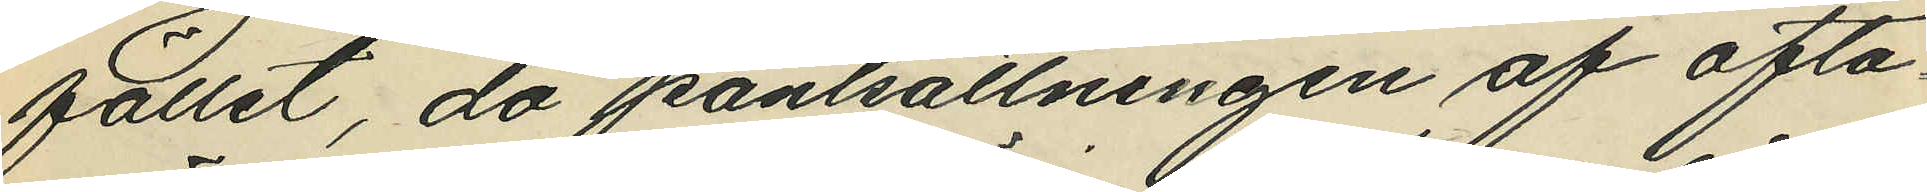fället, då pantsättningen af ofta¬
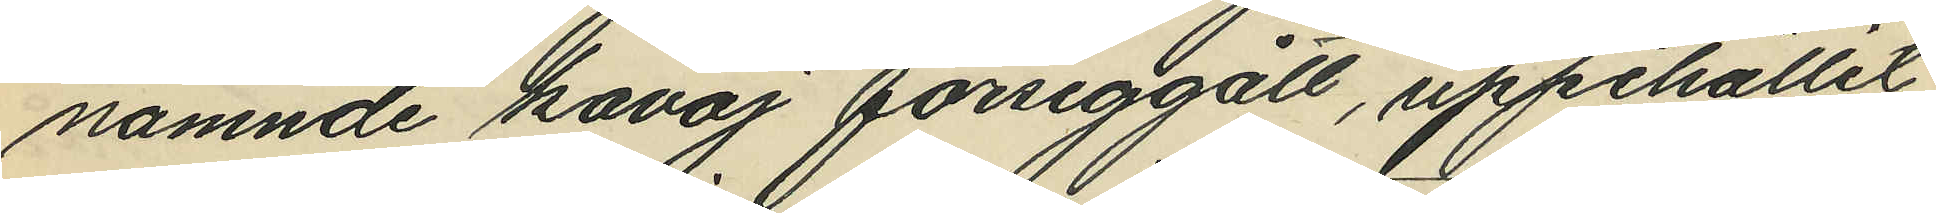nämnde kavaj försiggått, uppehållit
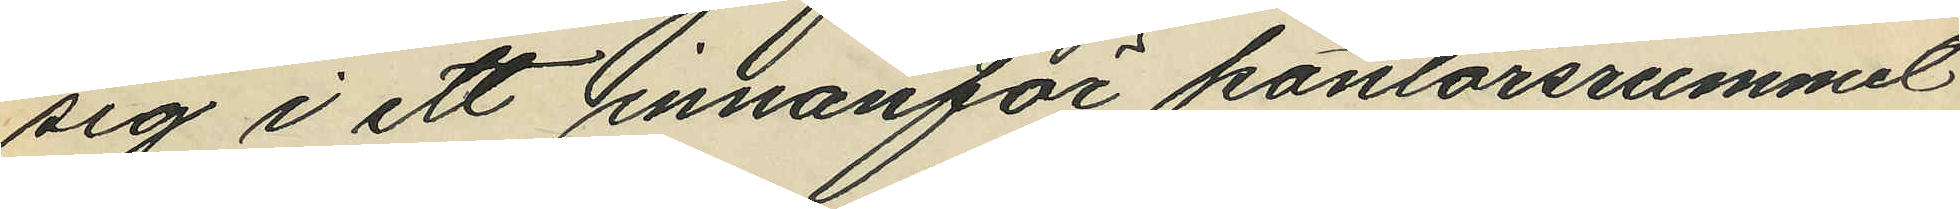sig i ett innanför kontorsrummet
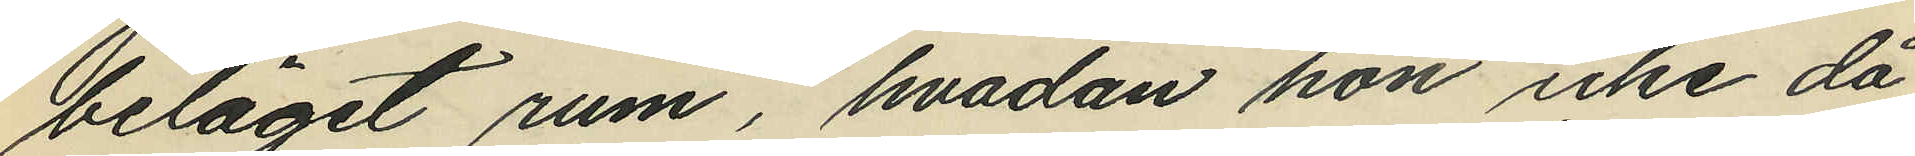beläget rum, hvadan hon icke då
